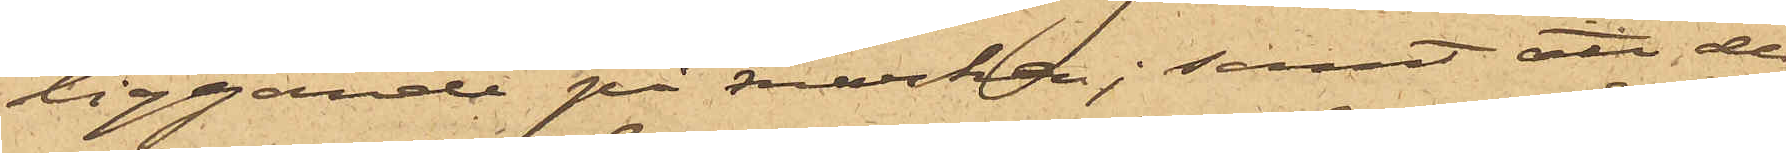liggande på marken; samt att de
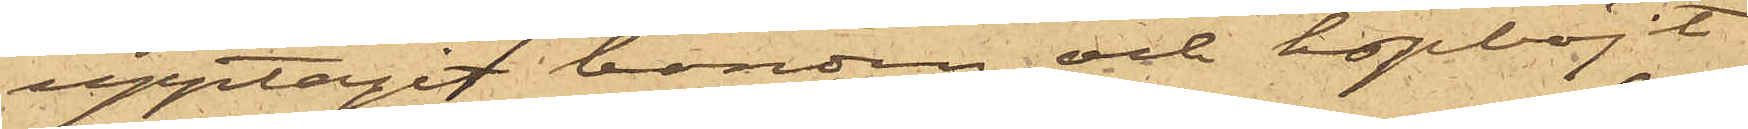upptagit banden och hopböjt
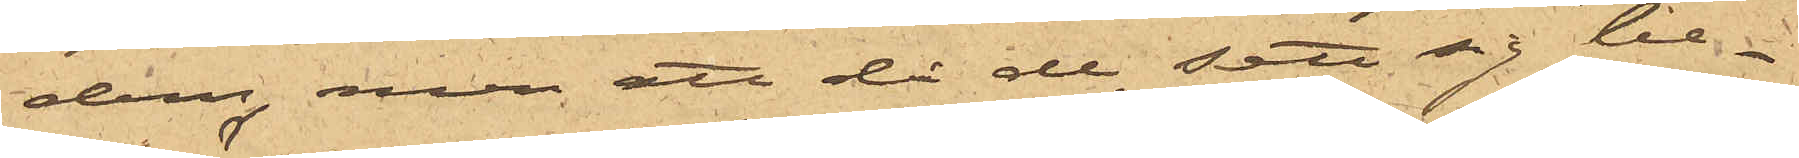dem, men att då de sett sig be¬
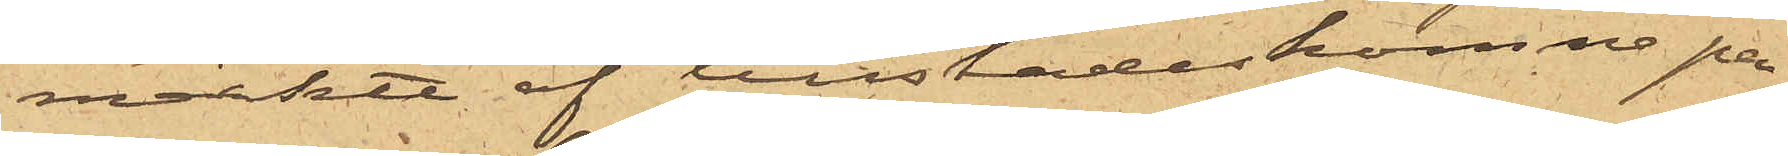märkta af tillstädeskomne per¬
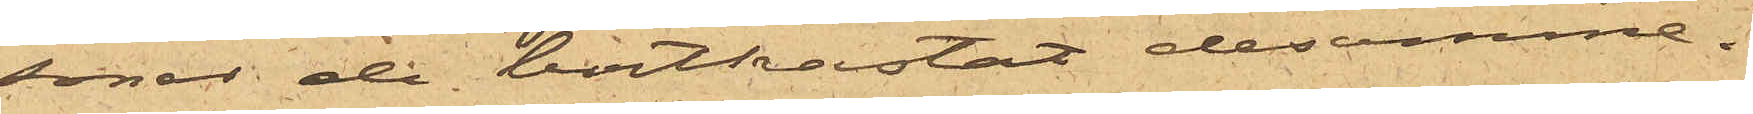soner de bortkastat desamme.
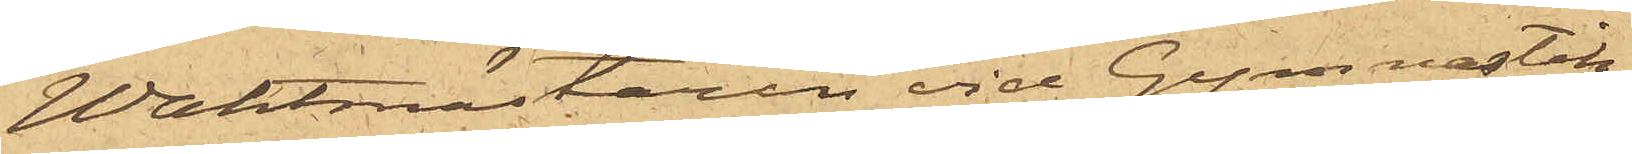Waktmästaren vid Gymnastik¬
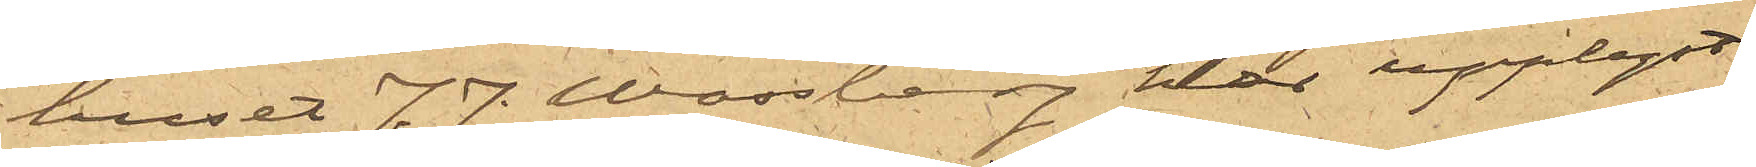huset J. J. Wassberg har upplyst
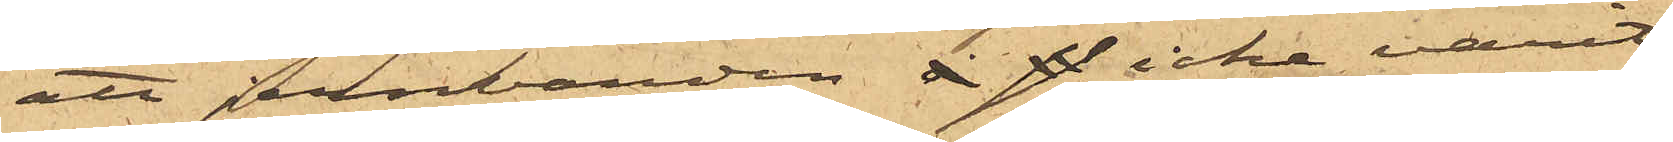att jernbanden icke varit
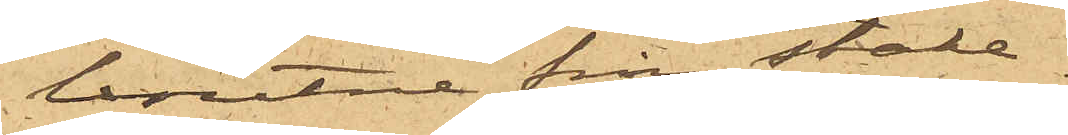brutne från stake¬
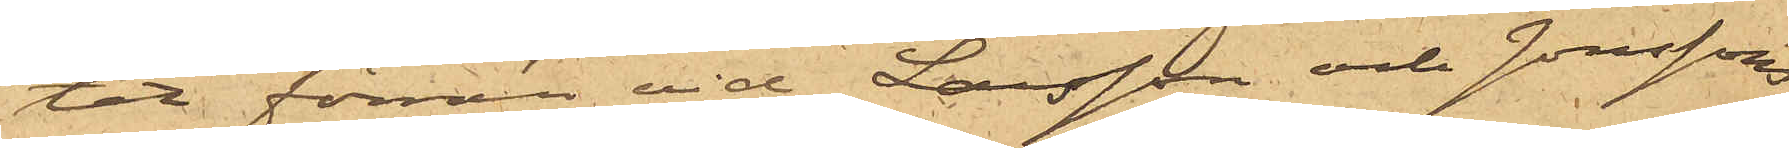tet förrän vid Larsson och Jonssons
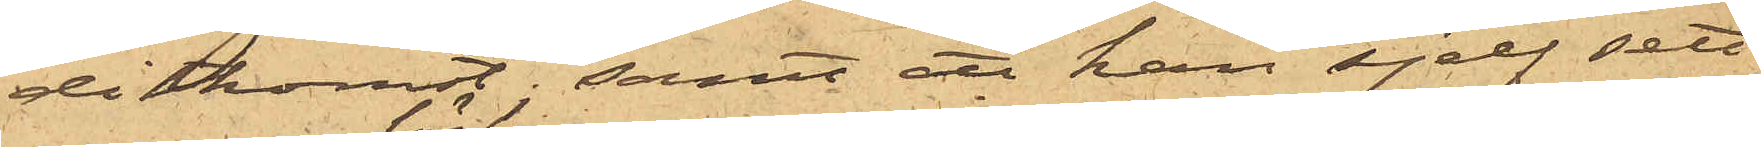ditkomst; samt att han sjelf sett
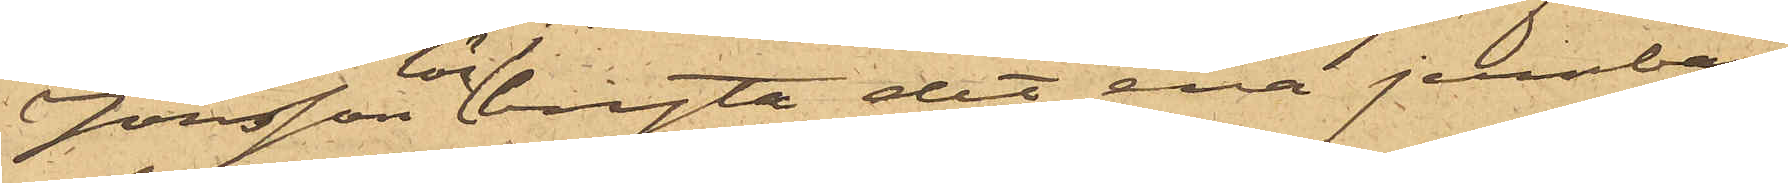Jonsson lossbryta det ena jerrnban¬
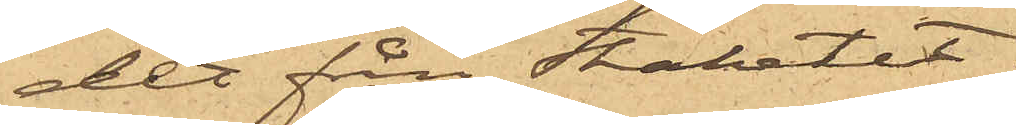det från staketet.
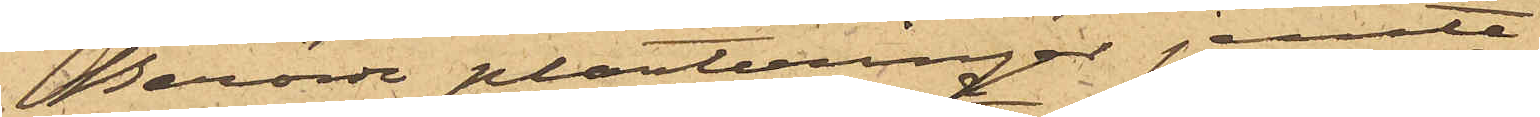Berörde planteringar jemte
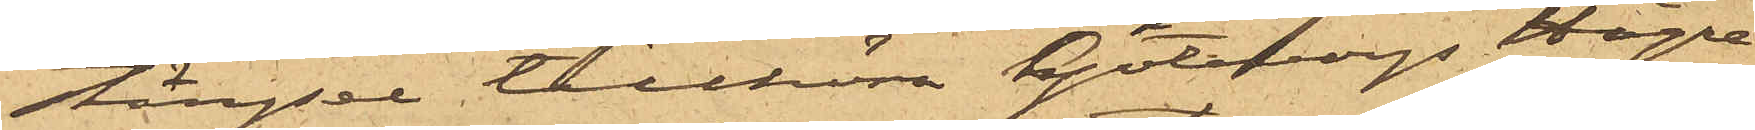stängsel tillhöra Göteborgs Högre
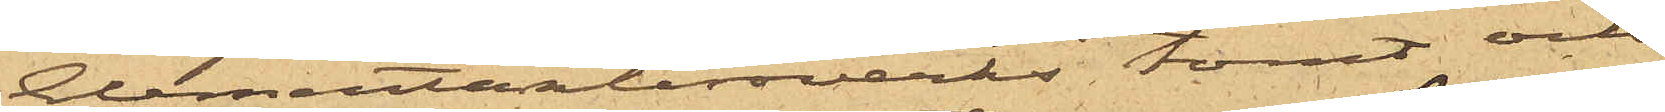Elementarläroverks tomt och
